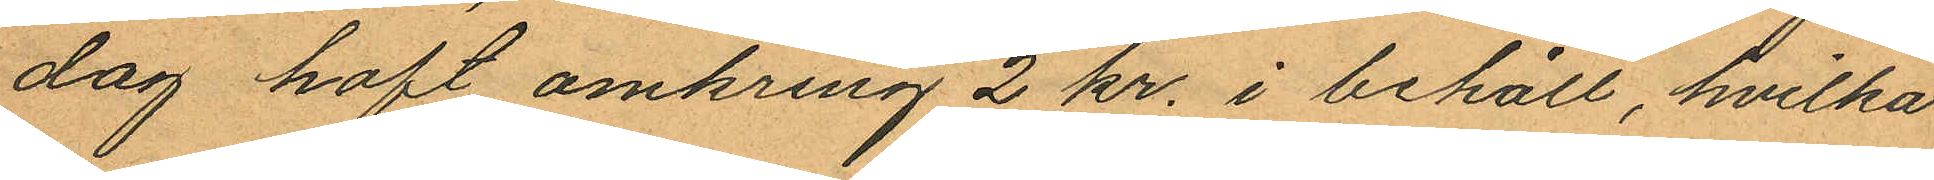dag haft omkring 2 kr. i behåll, hvilka
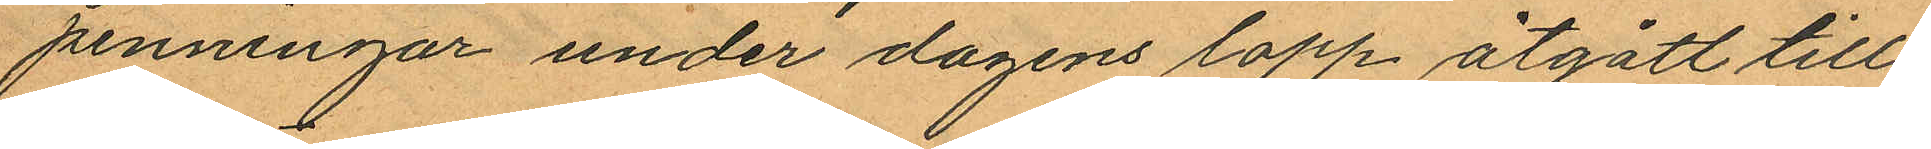penningar under dagens lopp åtgått till
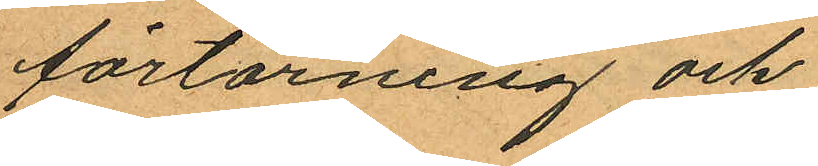förtärning och
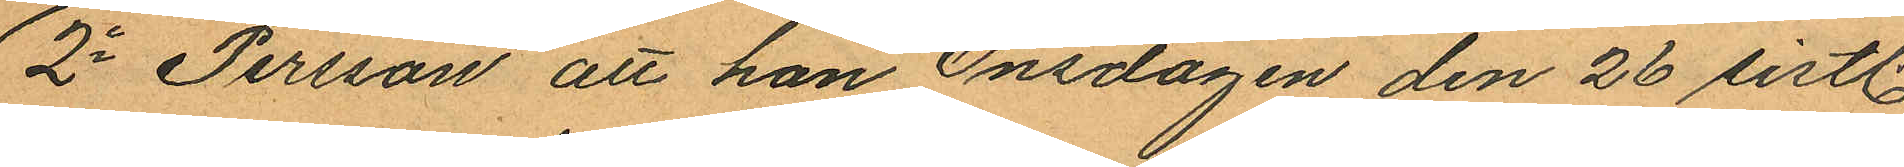2o Persson att han Onsdagen den 26 sistl.
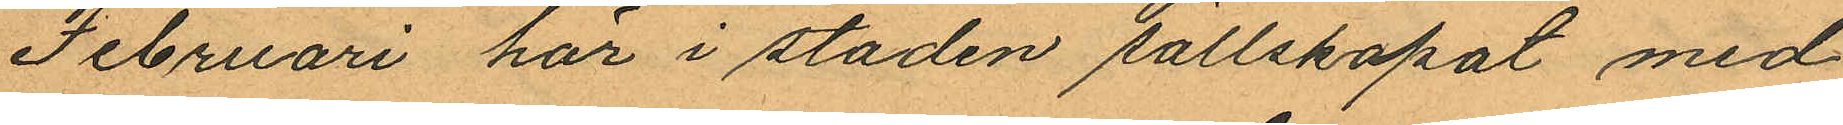Februari här i staden sällskapat med
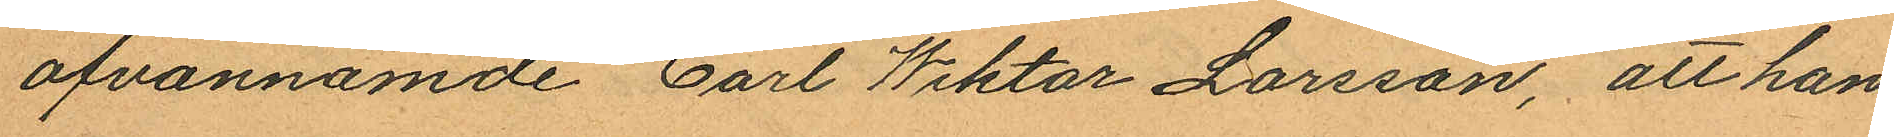ofvannämde Carl Wiktor Larsson, att han,
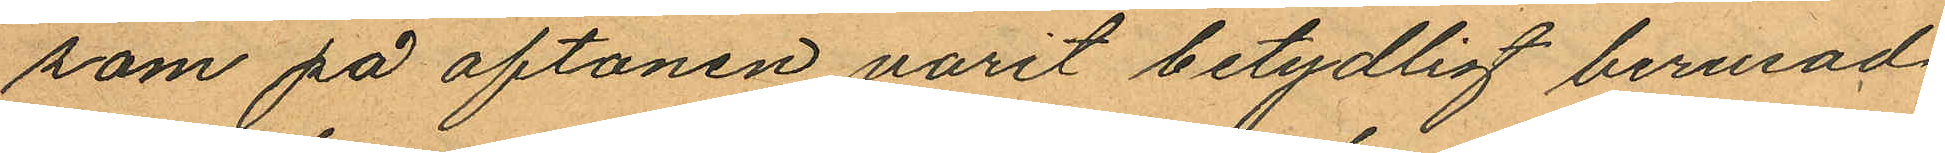som på aftonen varit betydligt berusad
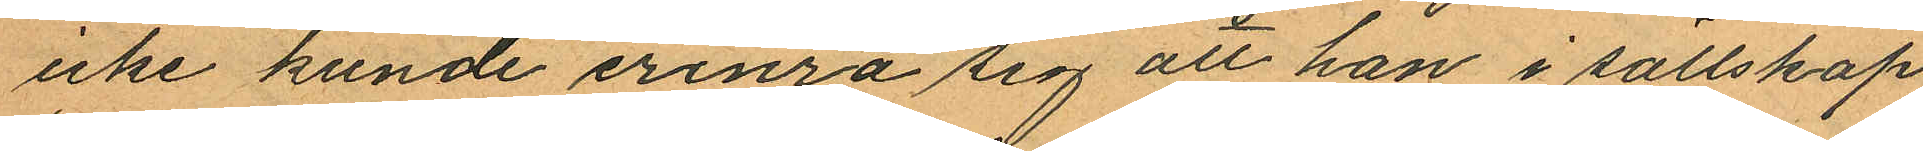icke kunde erinra sig att han i sällskap
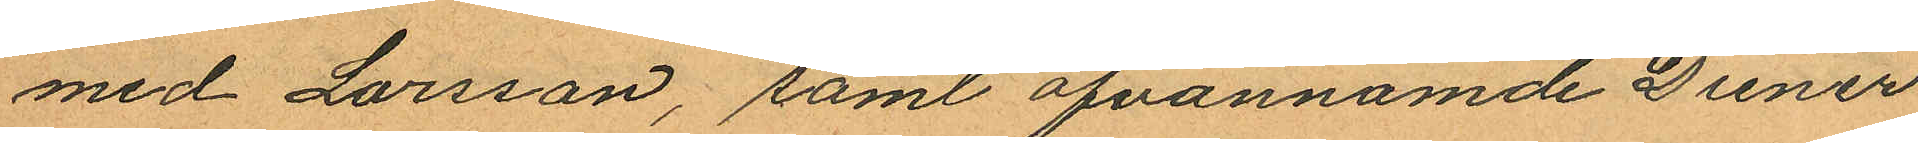med Larsson, samt ofvannämde Diener
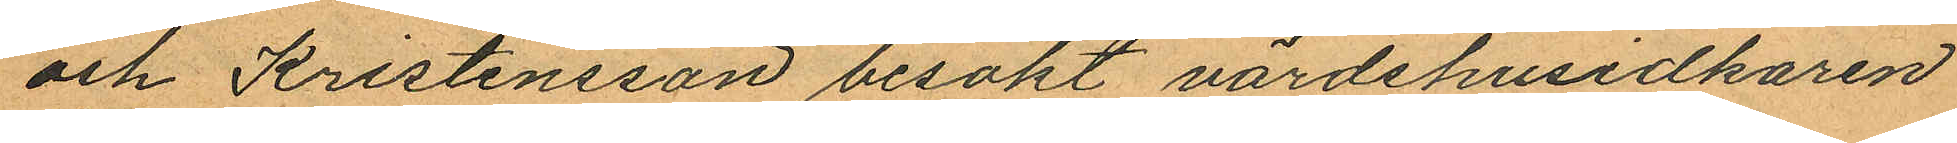och Kristensson besökt värdshusidkaren
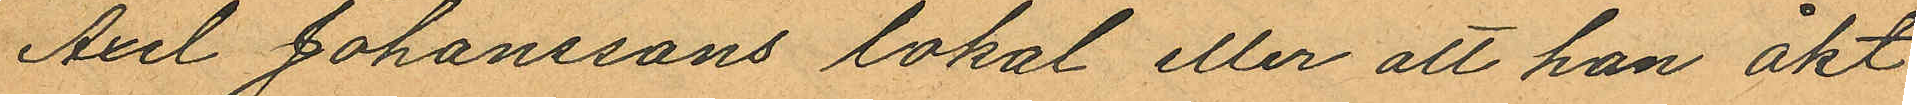Axel Johanssons lokal eller att han åkt
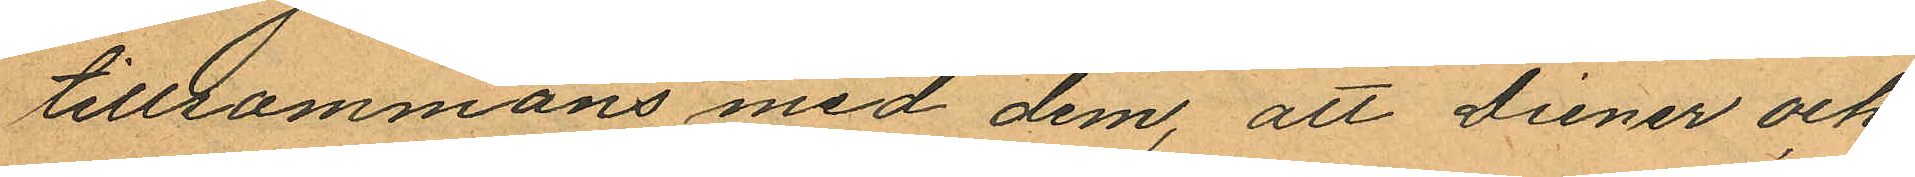tillsammans med dem, att Diener och
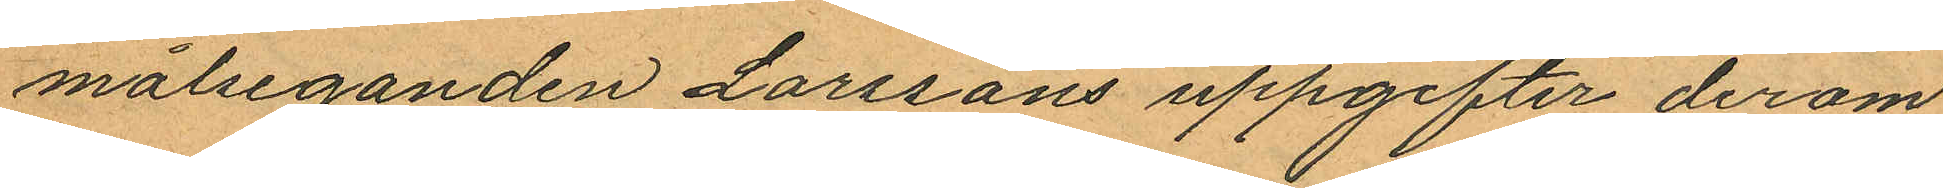målseganden Larssons uppgifter derom
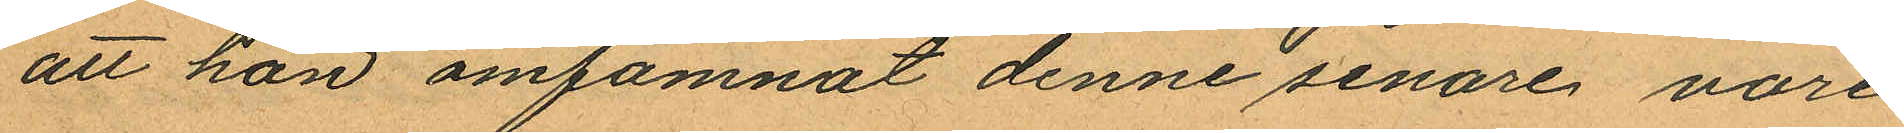att han omfamnat denne senare vore
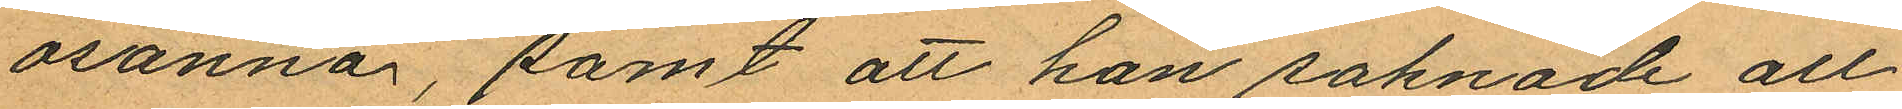osanna, samt att han saknade all
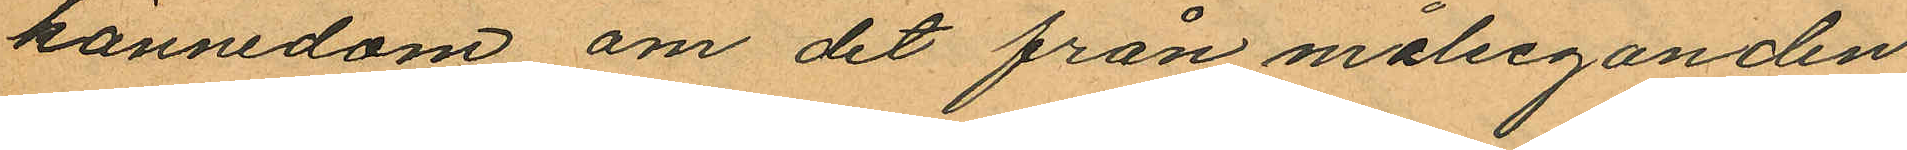kännedom om det från målseganden
